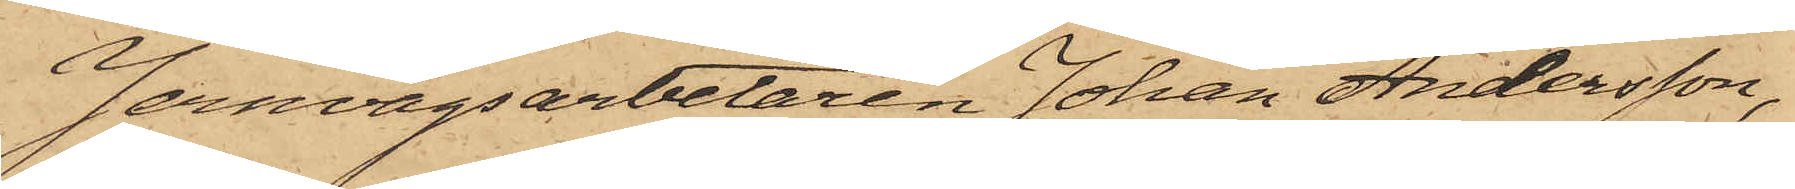Jernvägsarbetaren Johan Andersson,
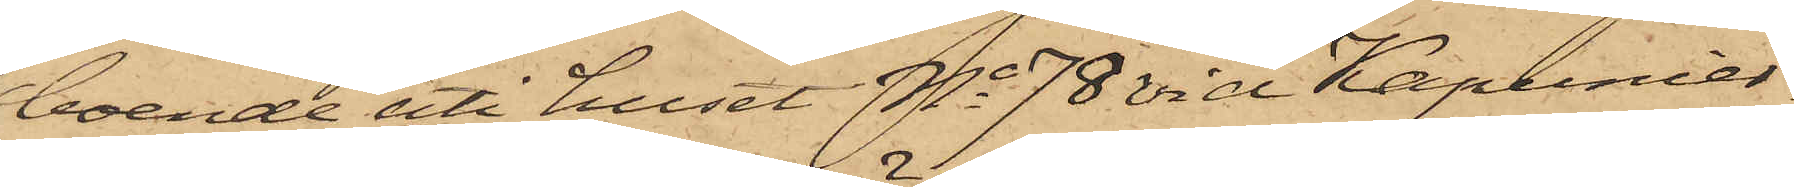boende uti huset No 78 vid Kapunier¬
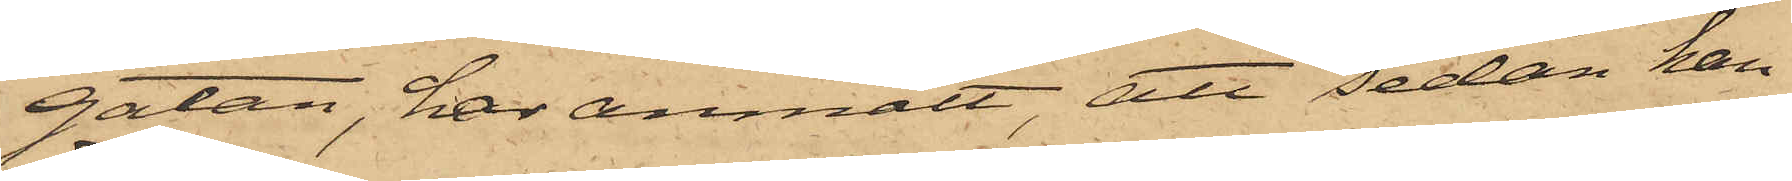gatan, har anmält att sedan han
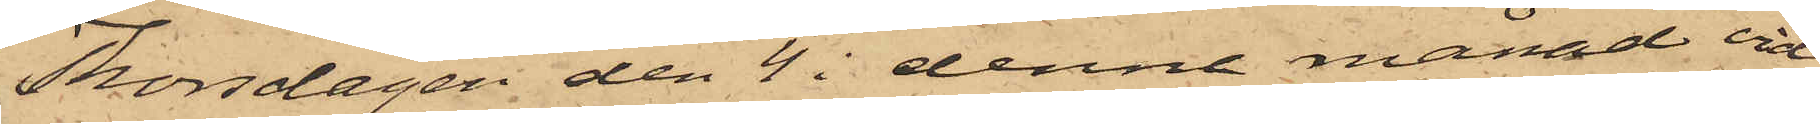Thorsdagen den 4 i denne månad vid
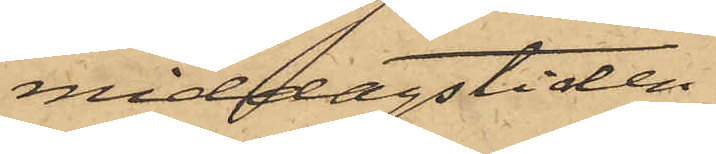middagstiden
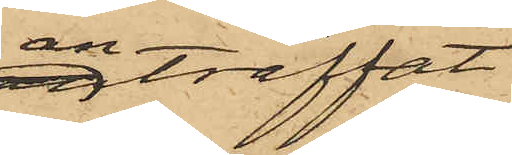anträffat
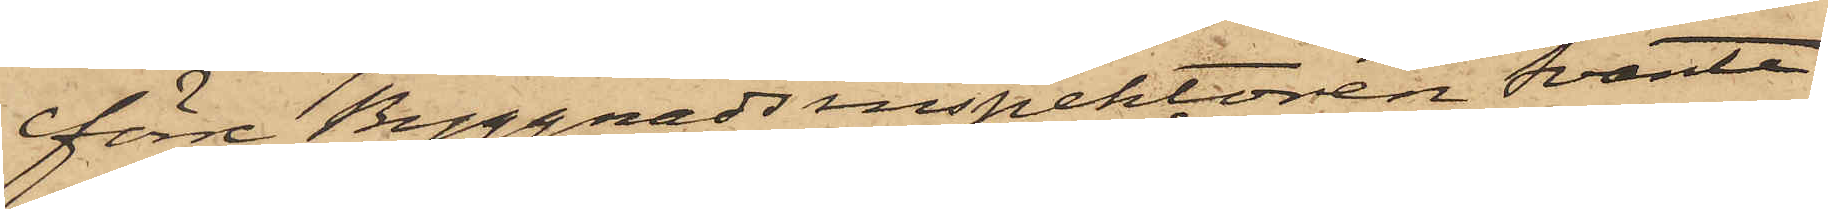förre Byggnadsinspektoren Svante
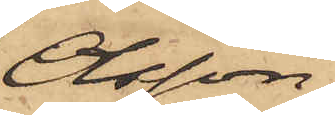Olsson
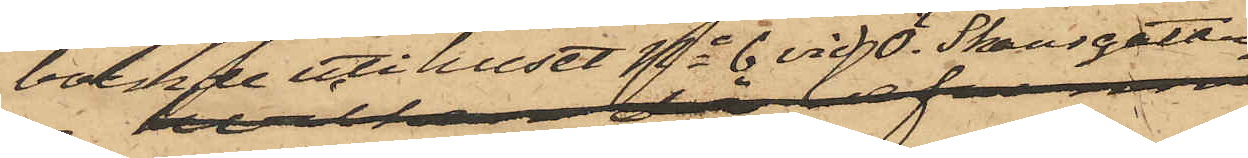boende uti huset No 6 vid Ö. Skansgatan
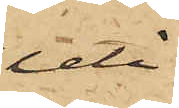uti
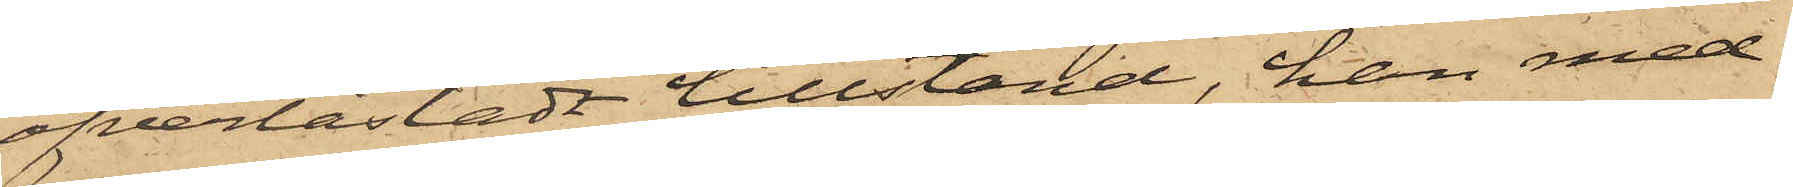öfverlastadt tillstånd, han med¬
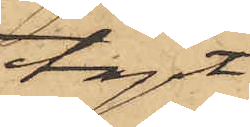tagit
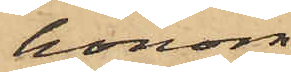honom
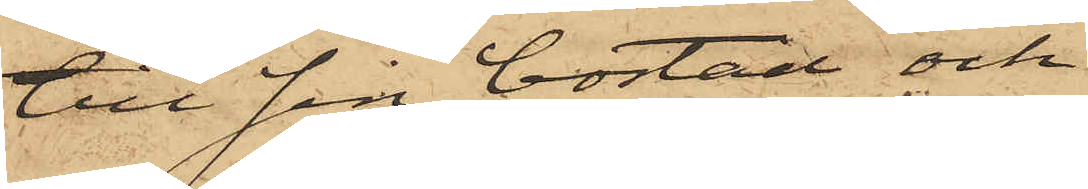till sin bostad och
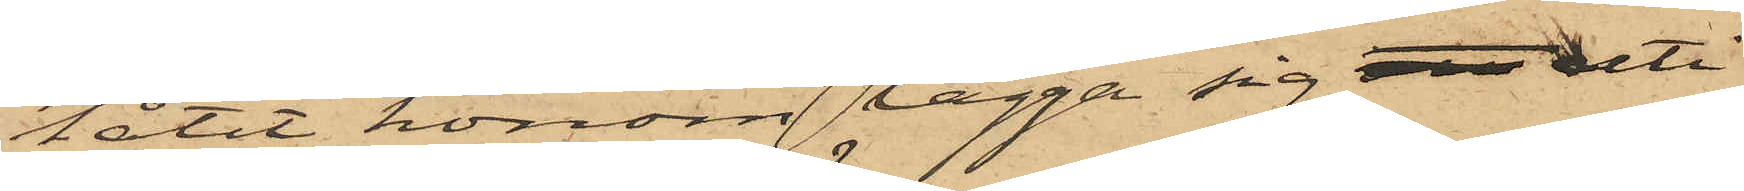låtit honom lägga sig att uti
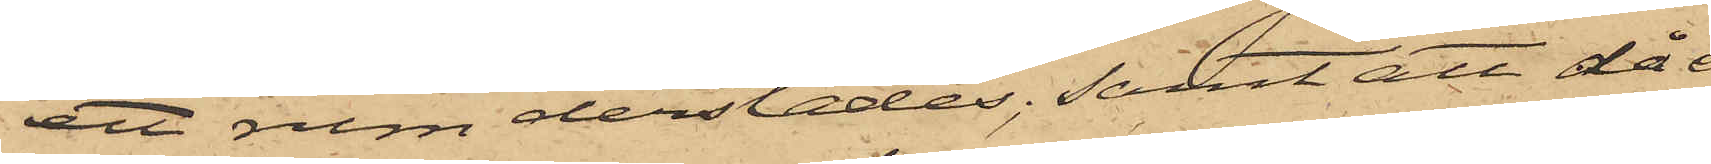ett rum derstädes; samt att då
